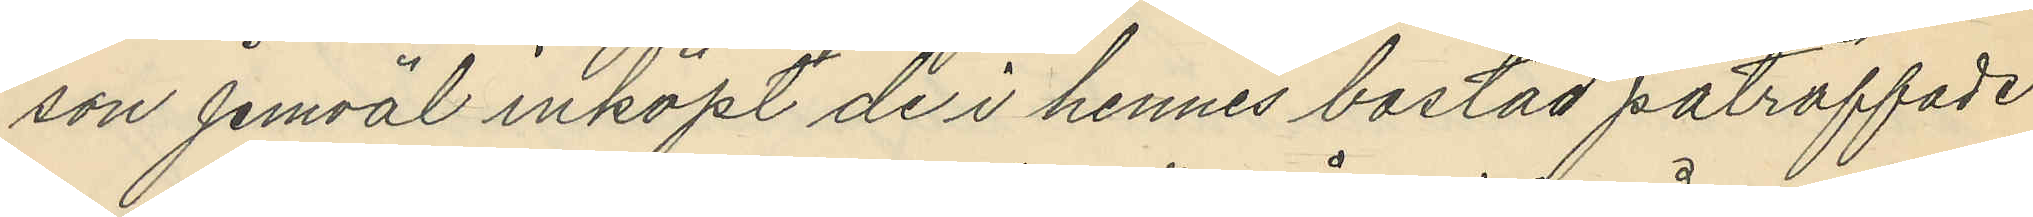son jemväl inköpt de i hennes bostad påträffade
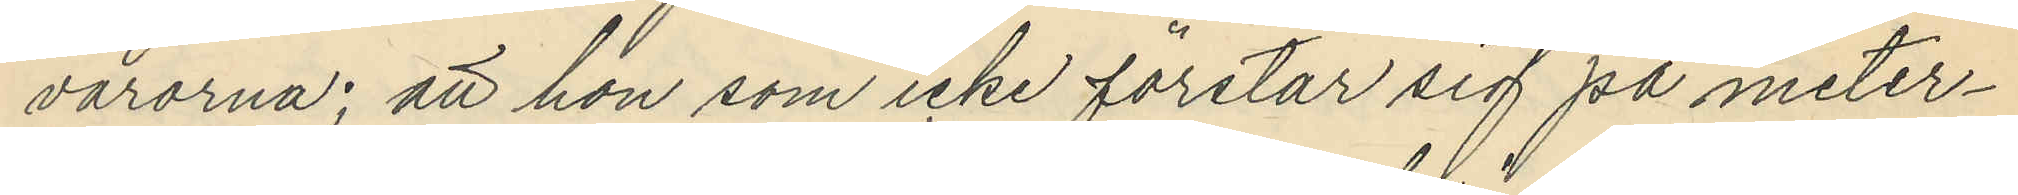varorna; att hon som icke förstår sig på meter¬
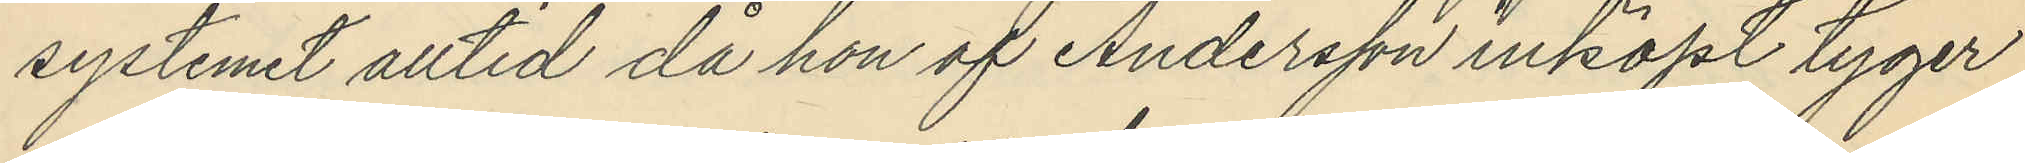systemet alltid då hon af Andersson inköpt tyger
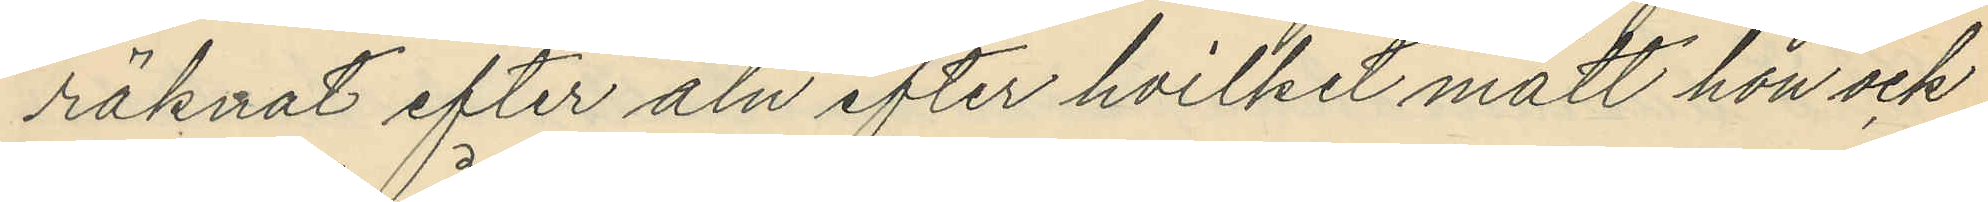räknat efter aln efter hvilket mått hon och
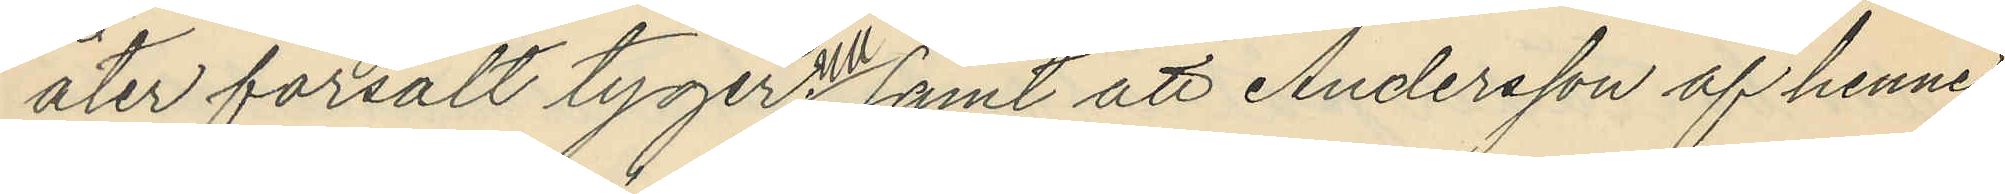åter försålt tygerna samt att Andersson af henne
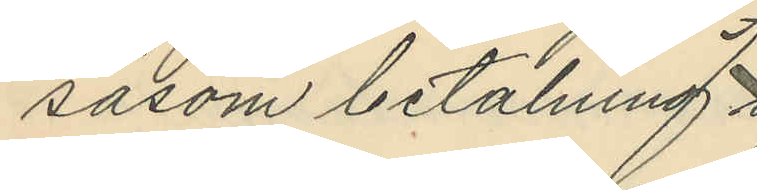såsom betalning
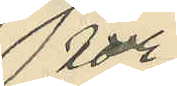för
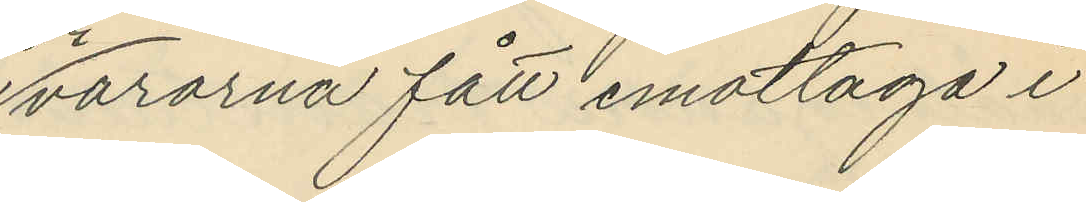varorna fått emottaga i
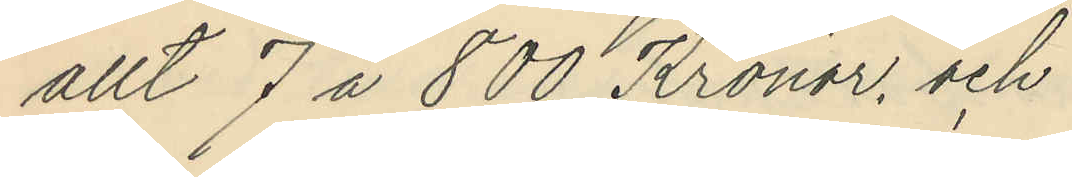allt 7 a 800 Kronor, och
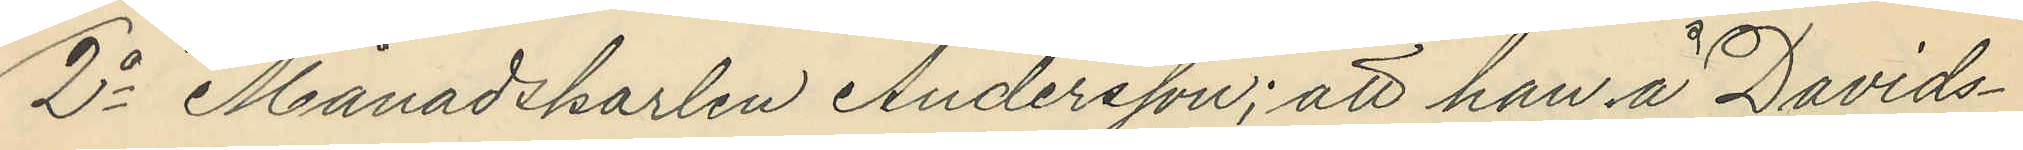2o Månadskarlen Andersson; att han å Davids¬
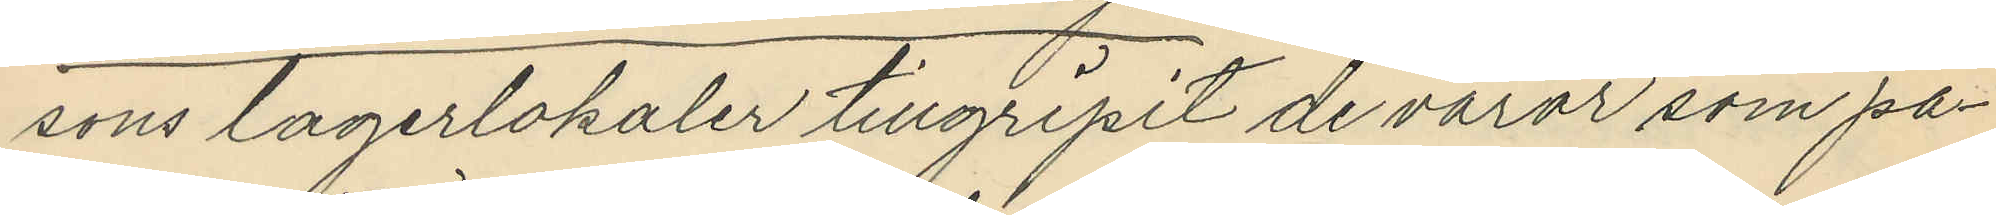sons lagerlokaler tillgripit de varor som på¬
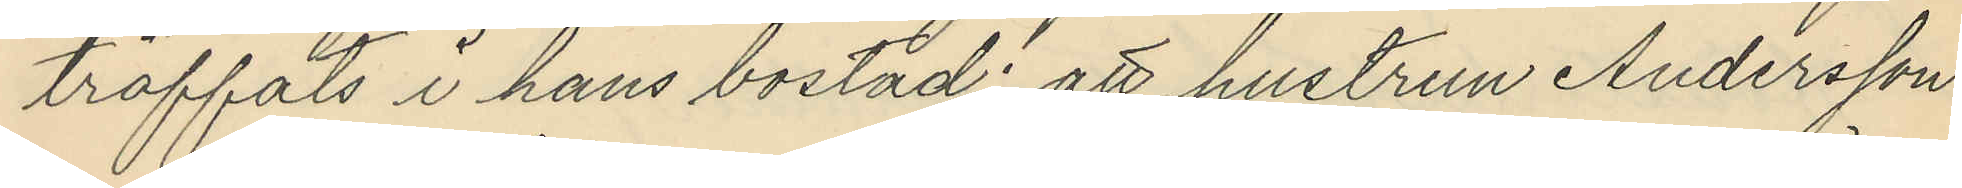träffats i hans bostad; att hustrun Andersson
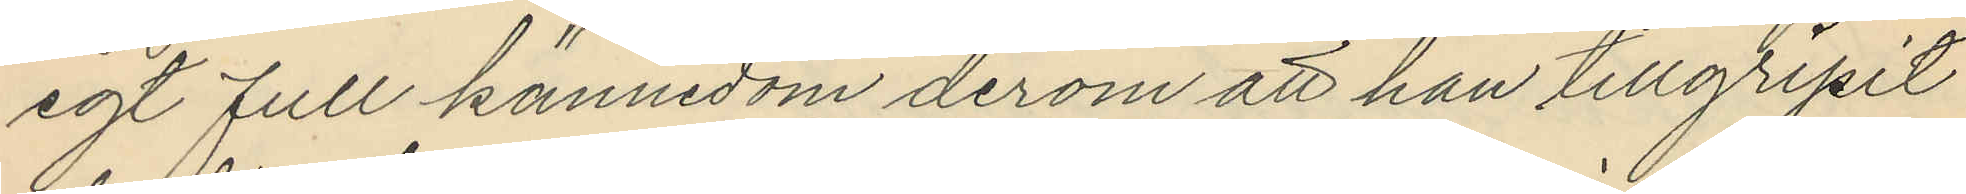egt full kännedom derom att han tillgripit
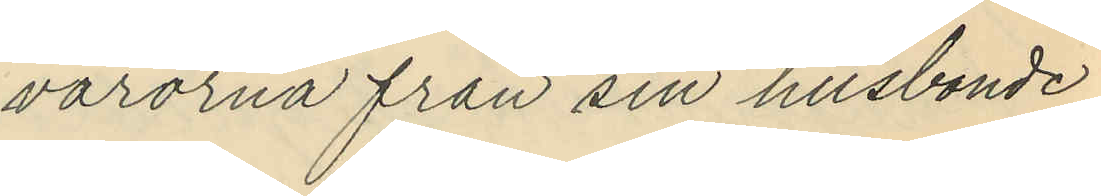varorna från sin husbonde
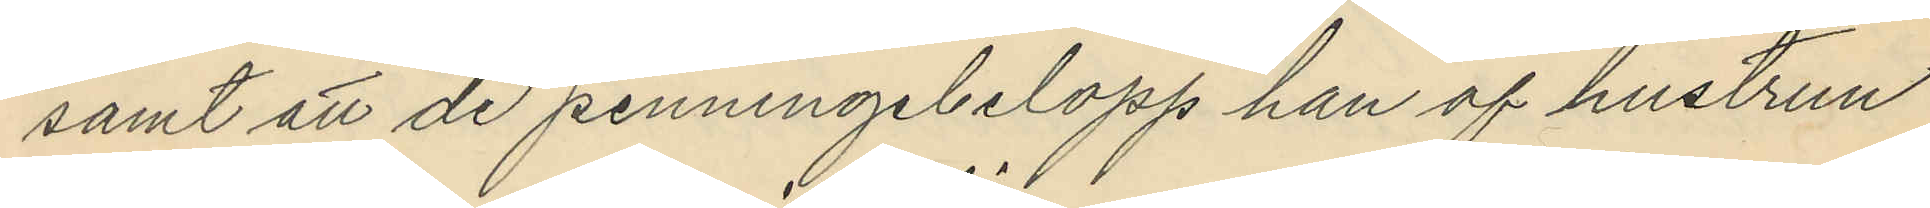samt att de penningebelopp han af hustrun
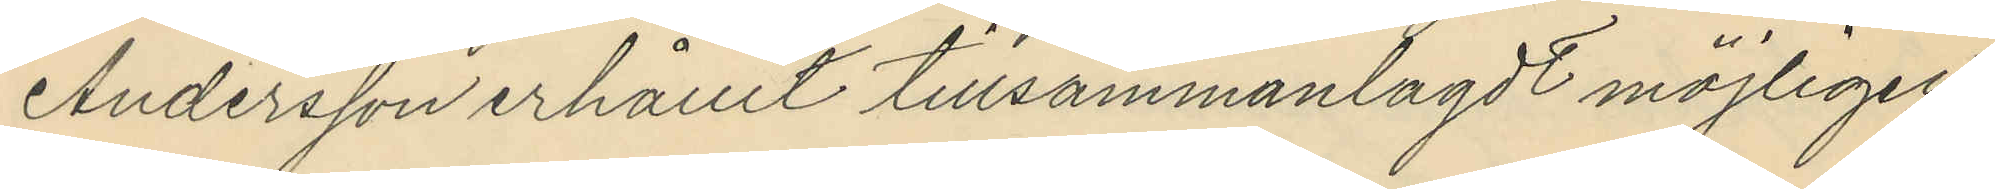Andersson erhållit tillsammanlagdt möjligen
